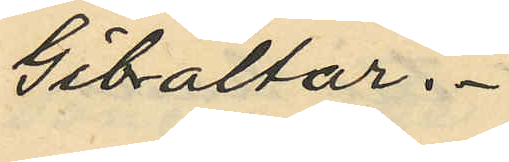Gibraltar.
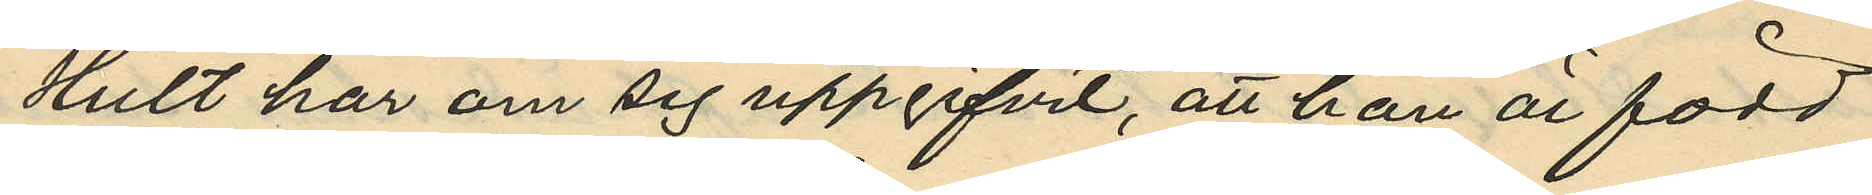Hult har om sig uppgifvit, att han är född
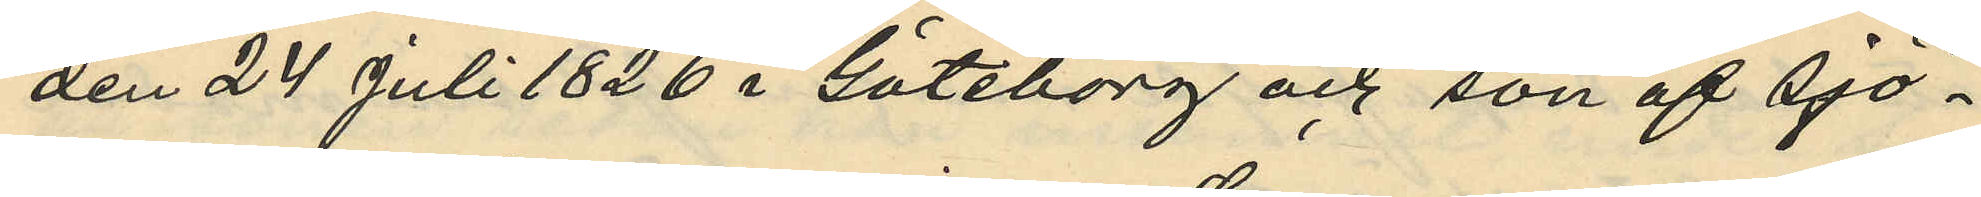den 24 Juli 1826 i Göteborg och son af Sjö¬
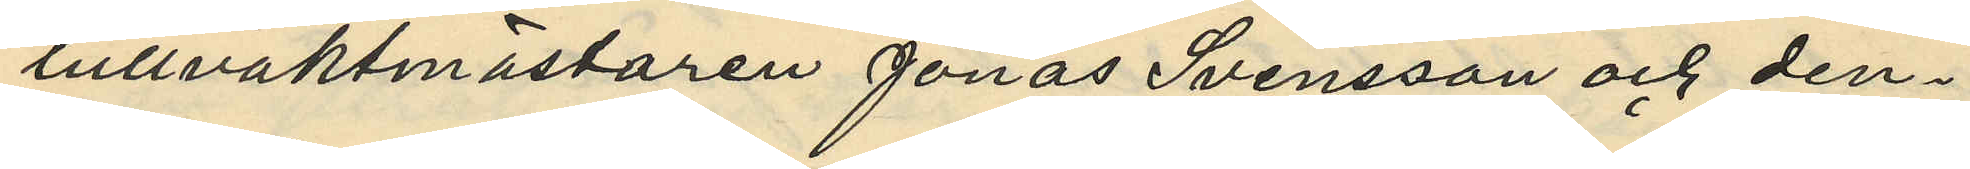tullvaktmästaren Jonas Svensson och den¬
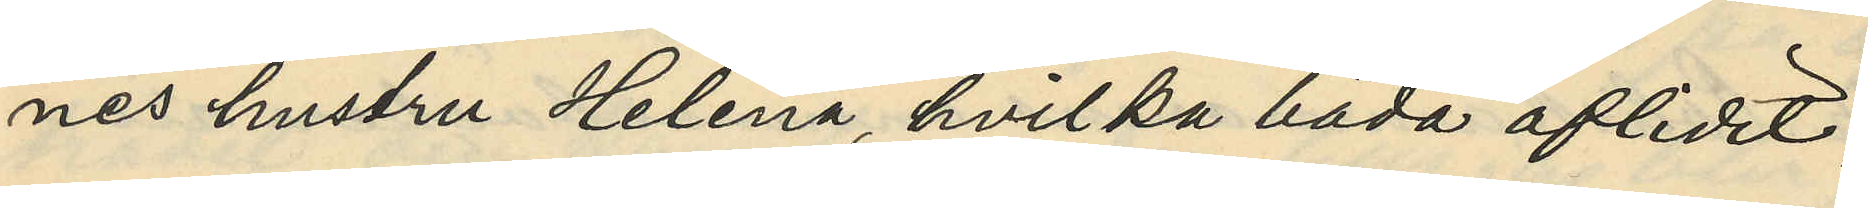nes hustru Helena, hvilka båda aflidit,
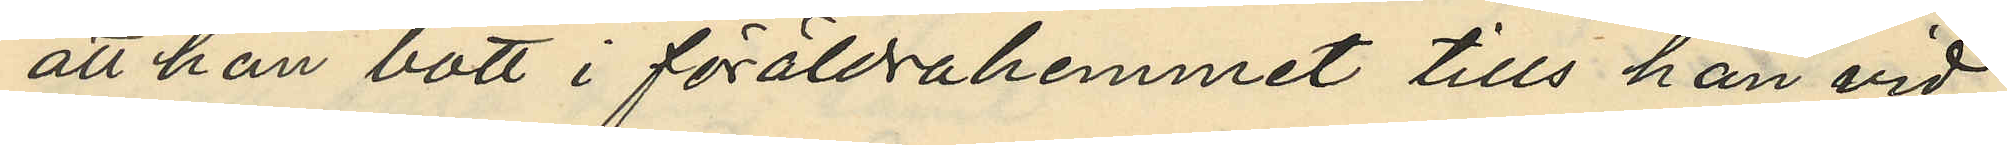att han bott i föräldrahemmet tills han vid
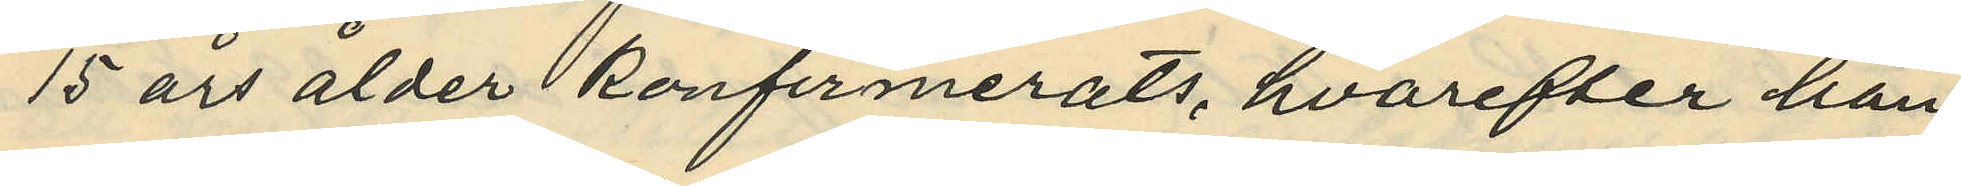15 års ålder konfirmerats, hvarefter han
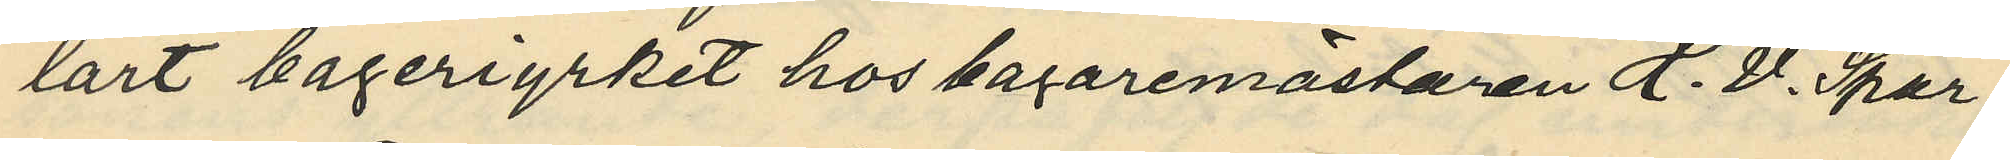lärt bageriyrket hos bagaremästaren H. V. Spar¬
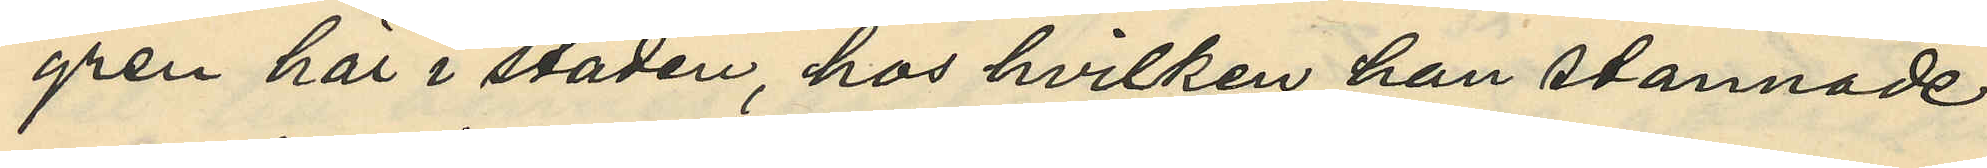gren här i staden, hos hvilken han stannade
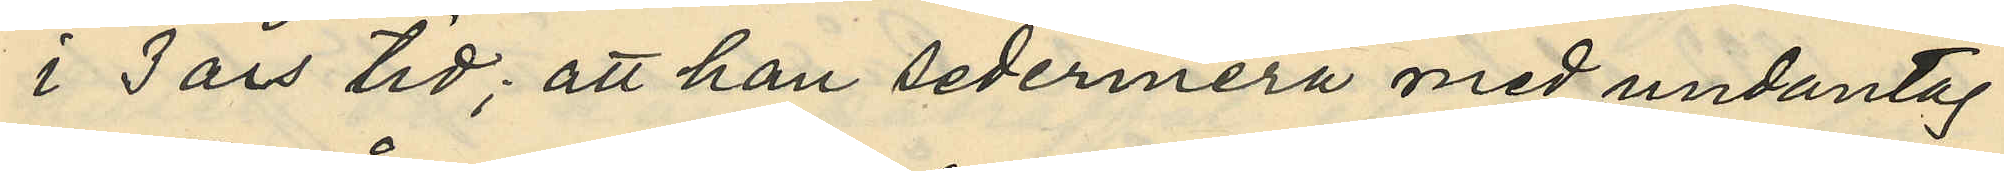i 3 års tid; att han sedermera med undantag
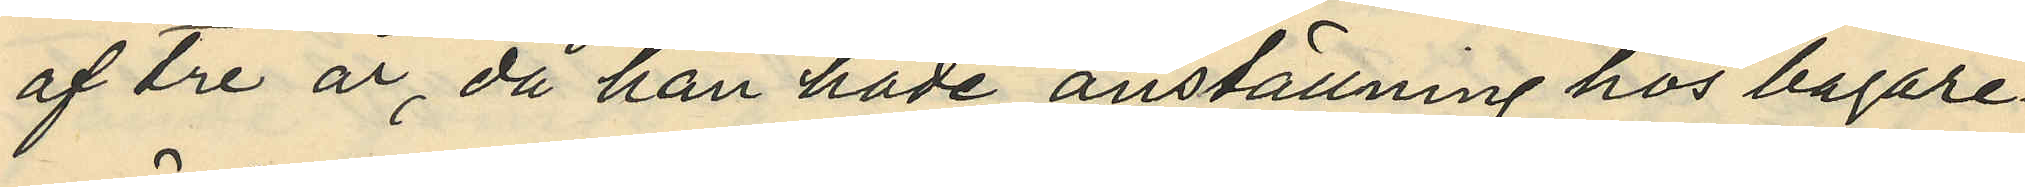af tre år, då han hade anställning hos bagare¬
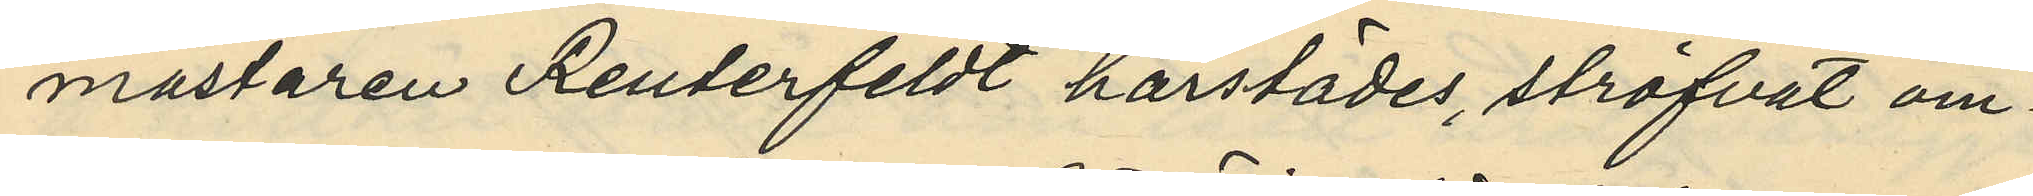mästaren Reuterfeldt härstädes, ströfvat om¬
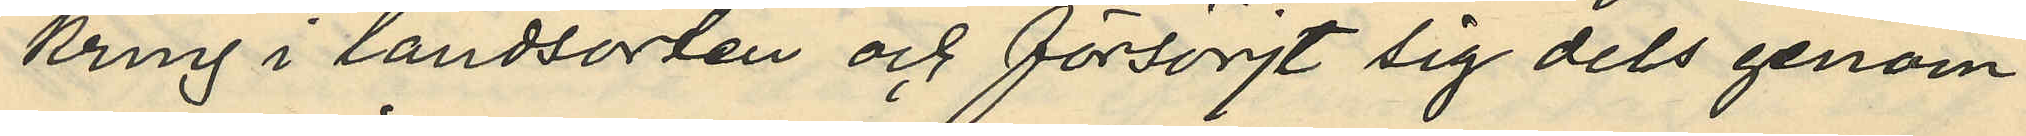kring i landsorten och försörjt sig dels genom
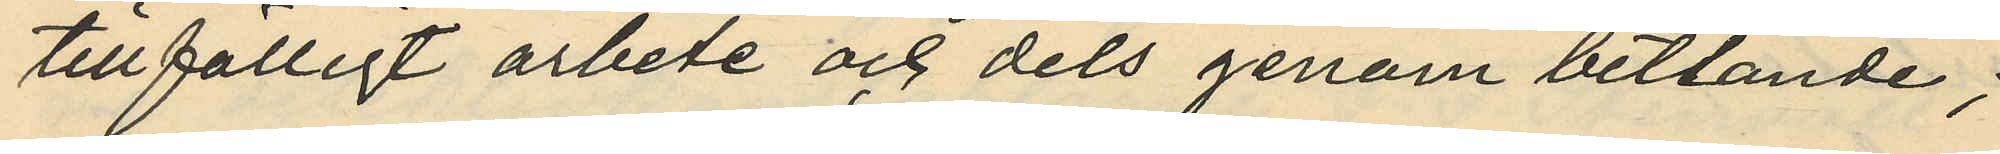tillfälligt arbete och dels genom betlande;
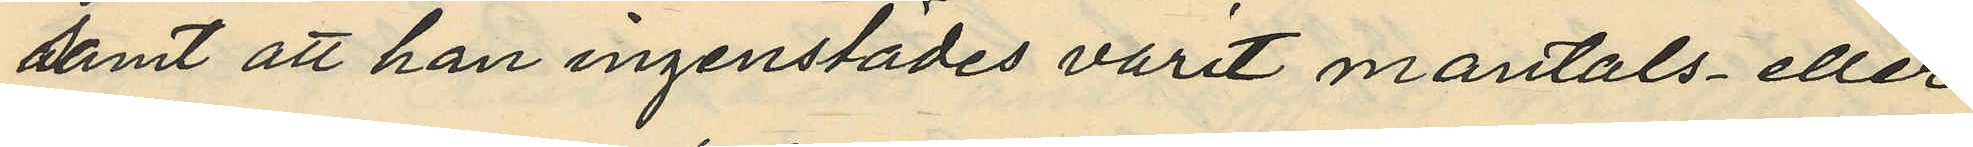samt att han ingenstädes varit mantals- eller
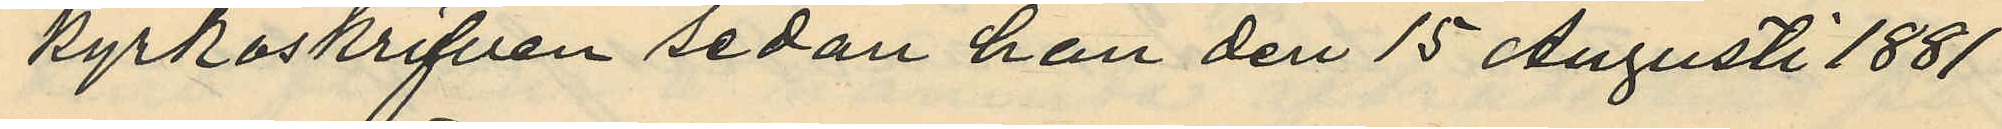kyrkoskrifven sedan han den 15 Augusti 1881
